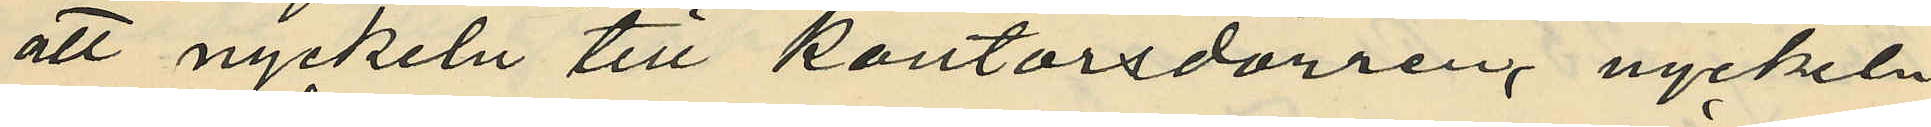att nyckeln till kontorsdörren, nyckeln
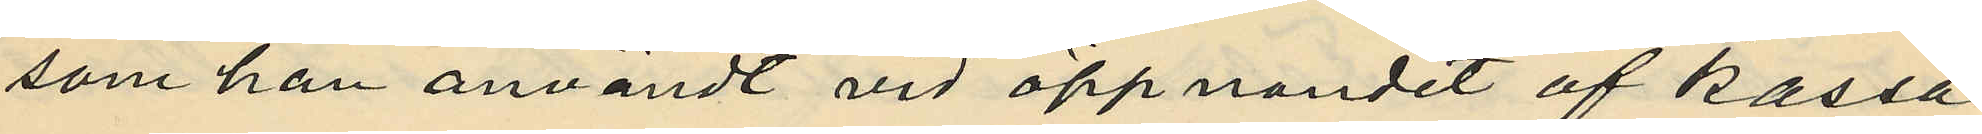som han användt vid öppnandet af kassa¬
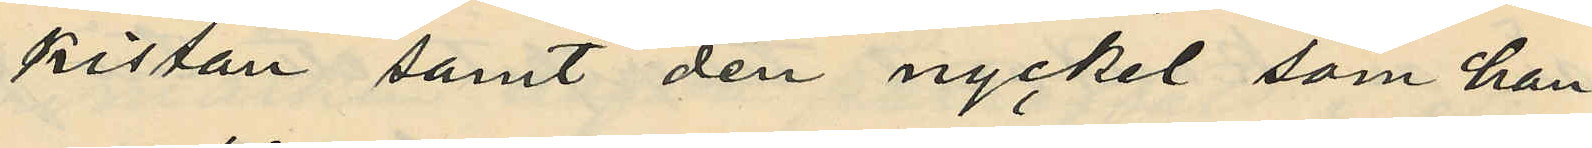kistan samt den nyckel, som han
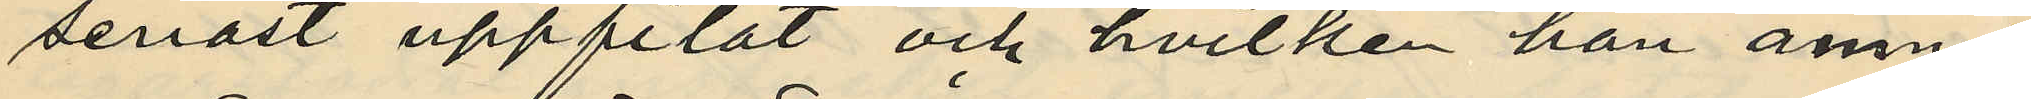senast uppfilat och hvilken han ämnat
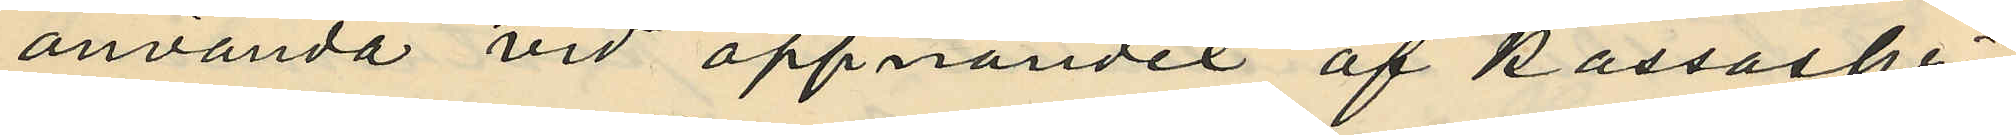använda vid öppnandet af kassaskri¬
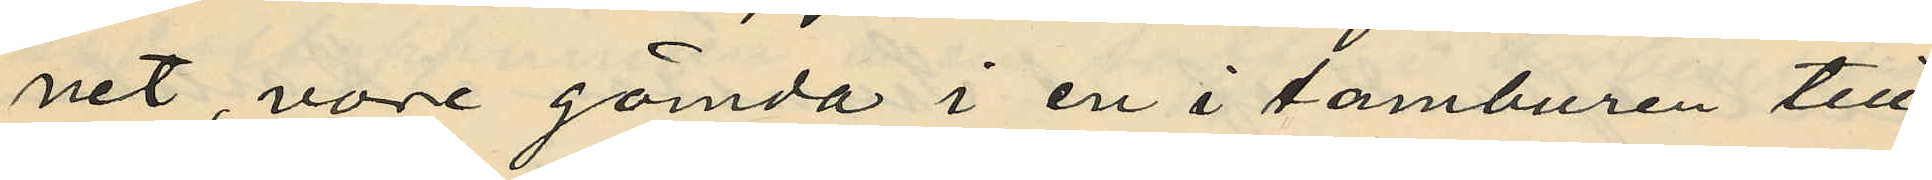net vore gömda i en i tamburen till
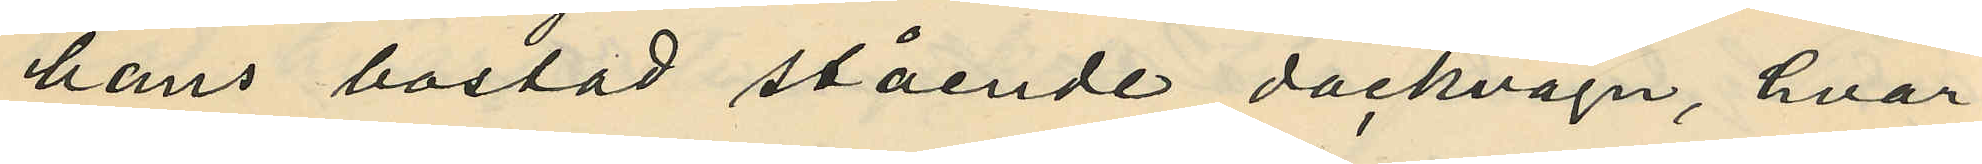hans bostad stående dockvagn, hvar¬
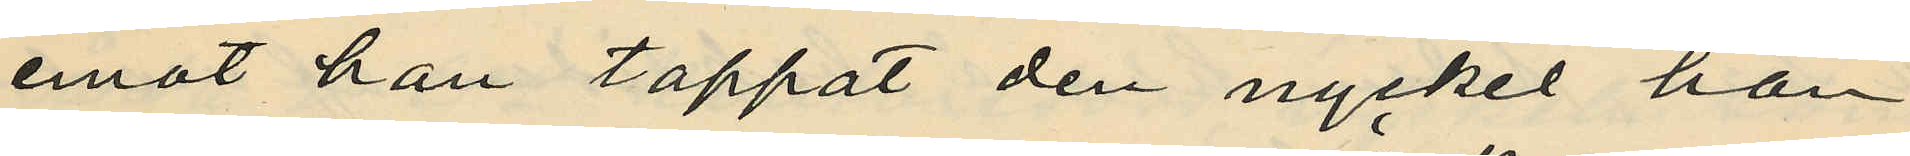emot han tappat den nyckel han
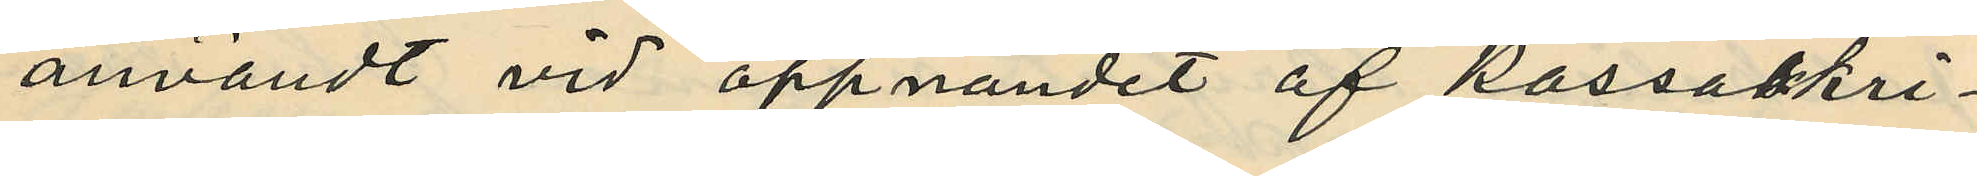användt vid öppnandet af kassaskri¬
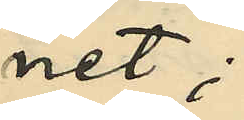net;
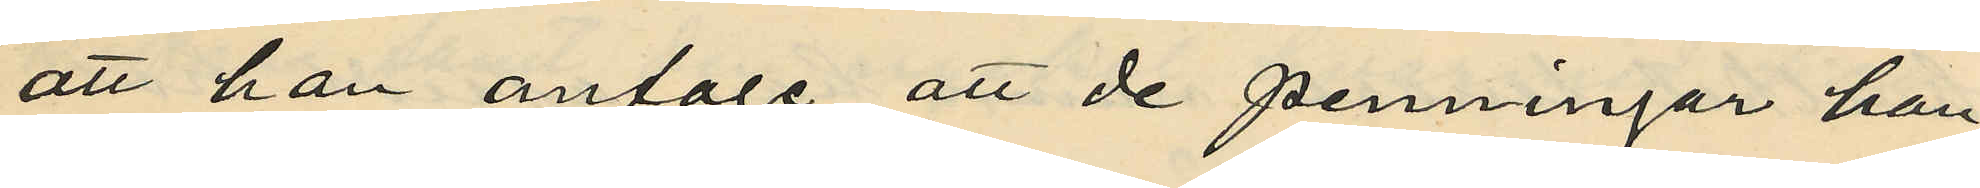att han antoge att de penningar han
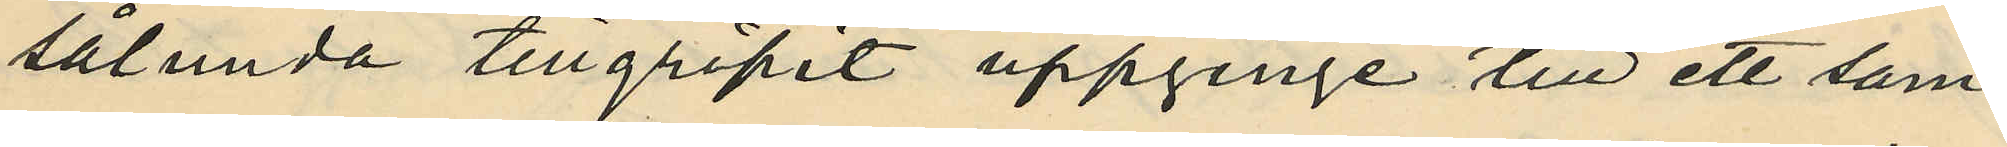sålunda tillgripit uppginge till ett sam¬
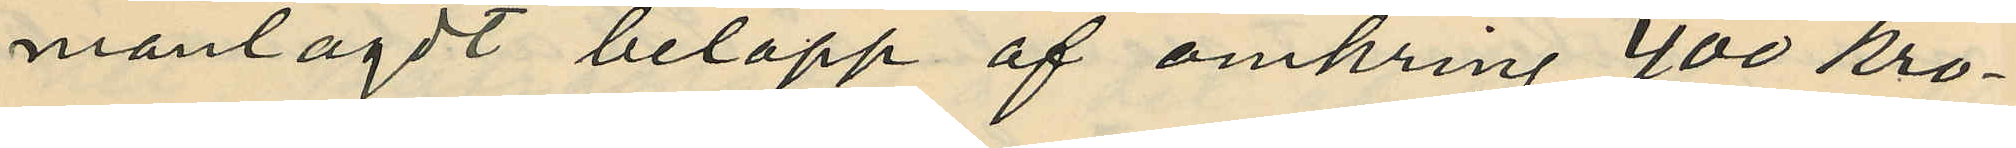manlagdt belopp af omkring 400 kro¬
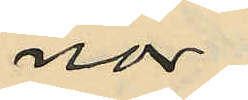nor;
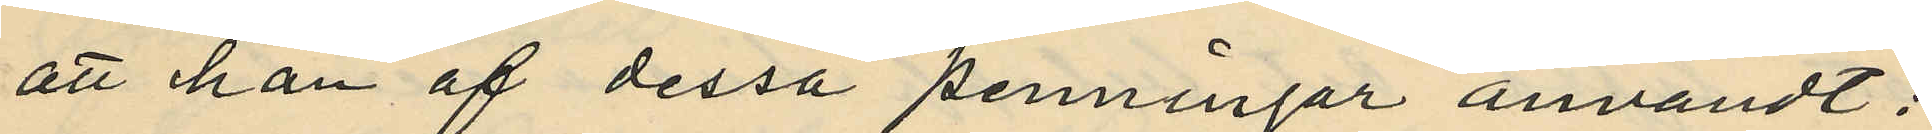att han af dessa penningar användt:
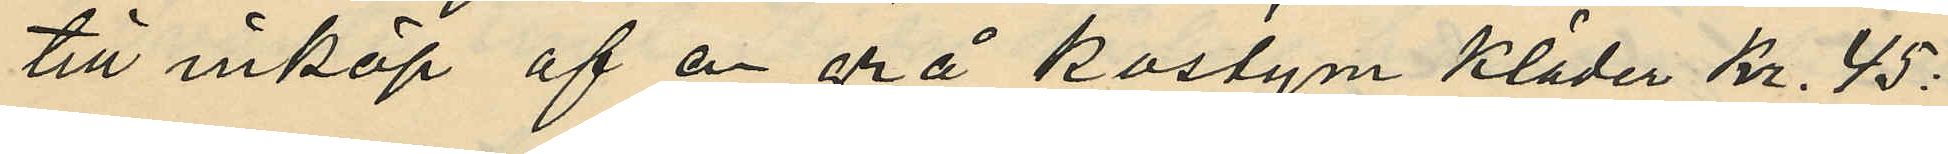till inköp af en grå kostym kläder Kr. 45:
